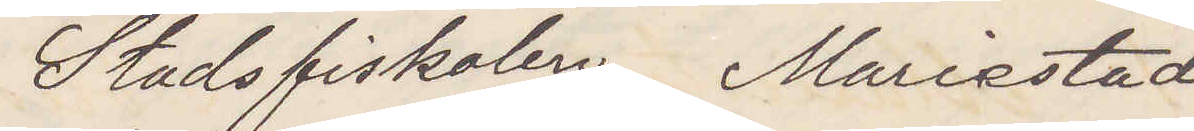Stadsfiskalen Mariestad
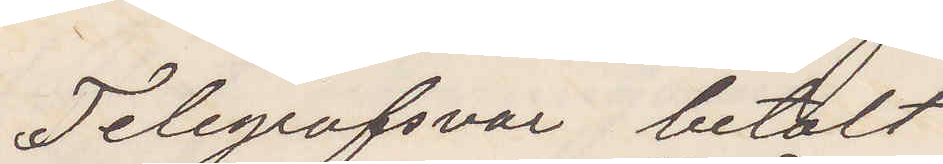Telegrafsvar betalt.
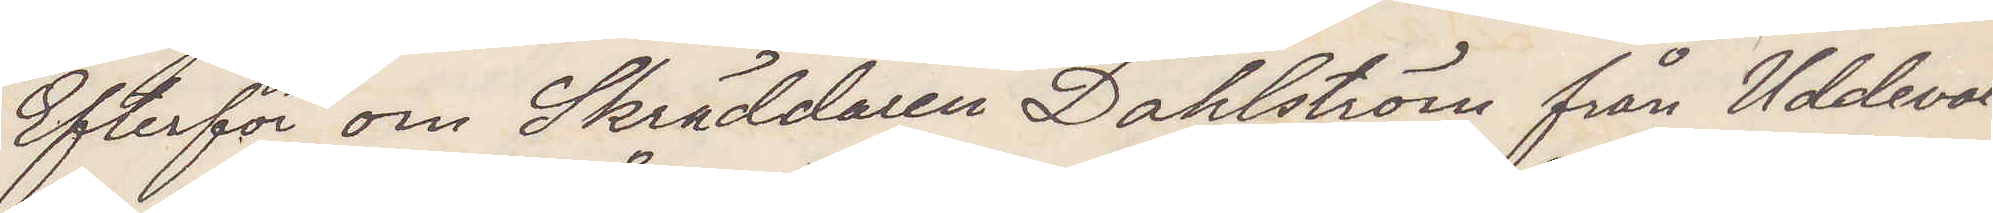Efterför om Skräddaren Dahlström från Uddeval¬
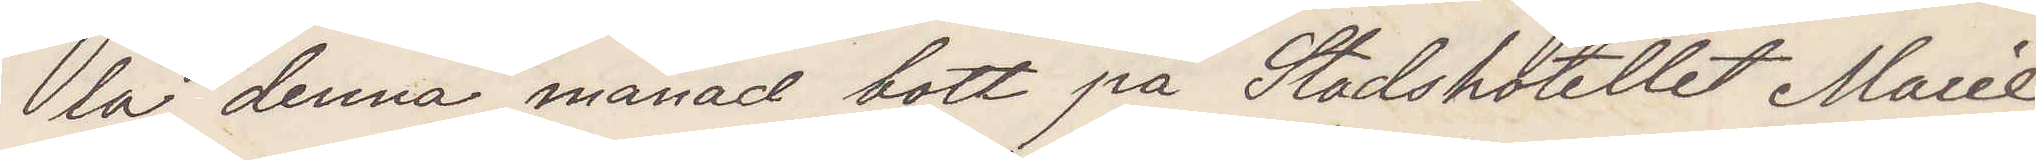la denna månad bott på Stadshotellet Marie¬
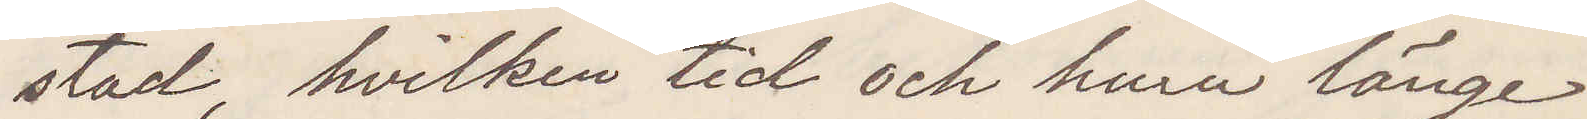stad hvilken tid och huru länge.
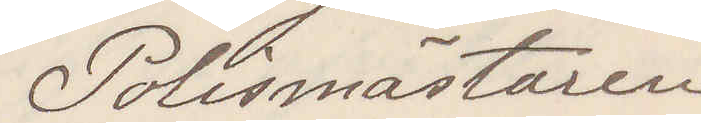Polismästaren
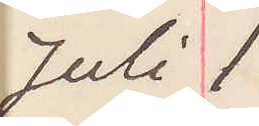Juli 1.
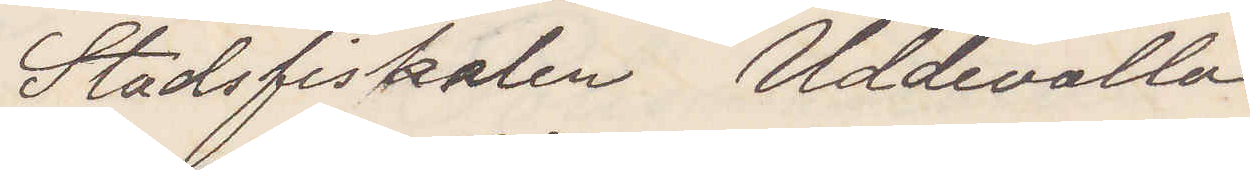Stadsfiskalen Uddevalla
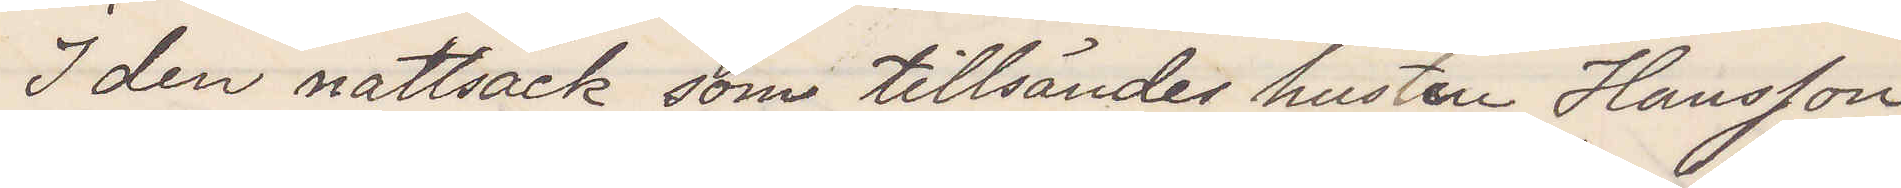I den nattsäck som tillsändes hustru Hansson
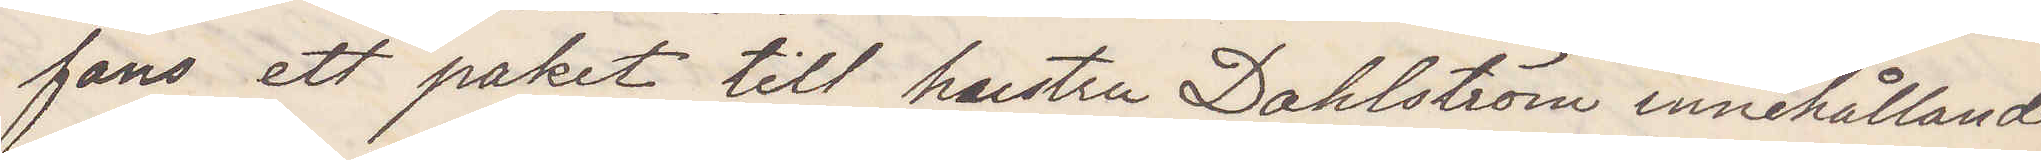fans ett paket till hustru Dahlström innehållande
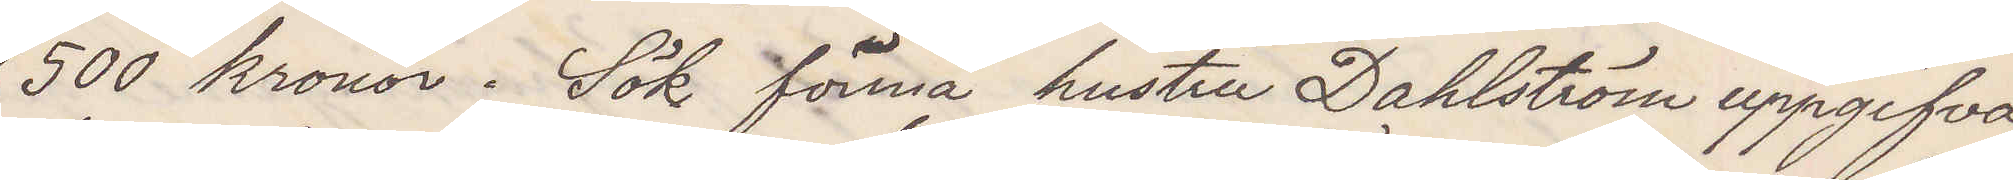500 kronor. Sök förmå hustru Dahlström uppgifva
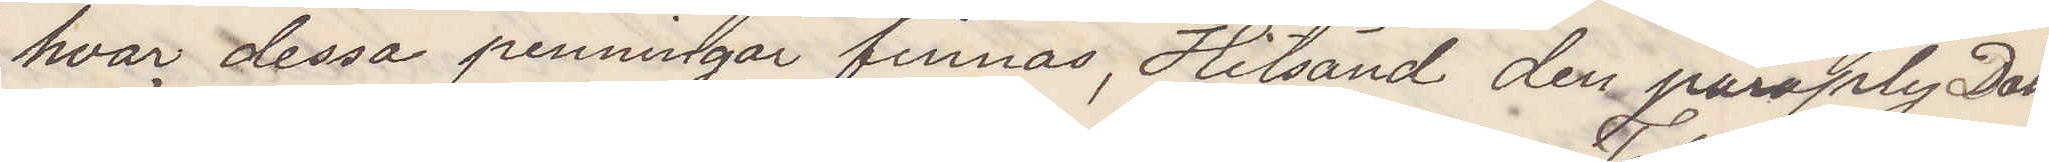hvar dessa penningar finnas Hitsänd den paraply Dahl¬
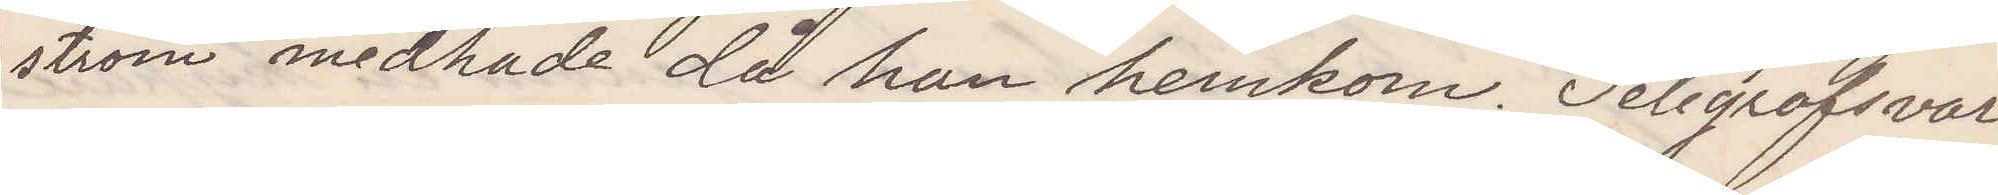ström medhade då han hemkom. Telegrafsvar.
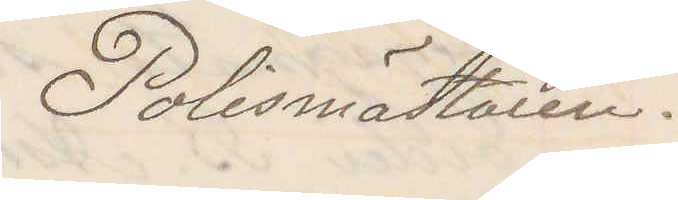Polismästaren.
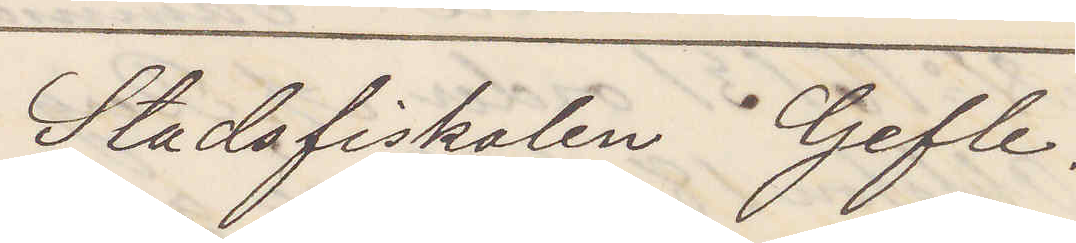Stadsfiskalen Gefle.
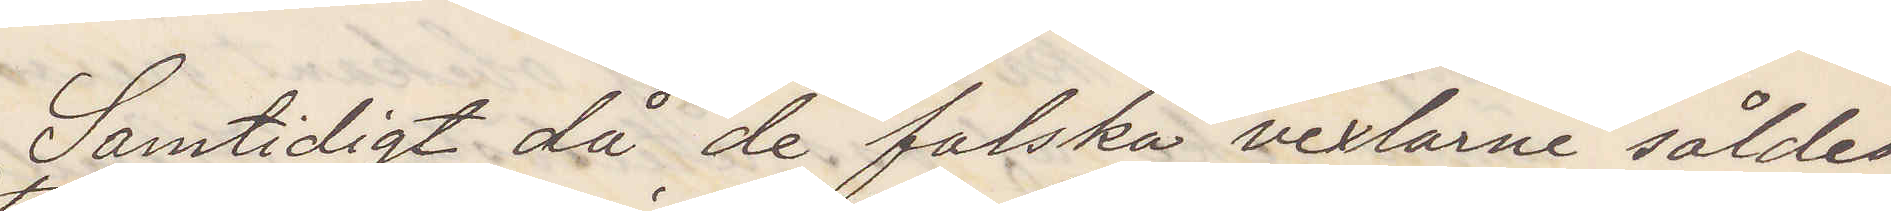Samtidigt då de falska vexlarne såldes
